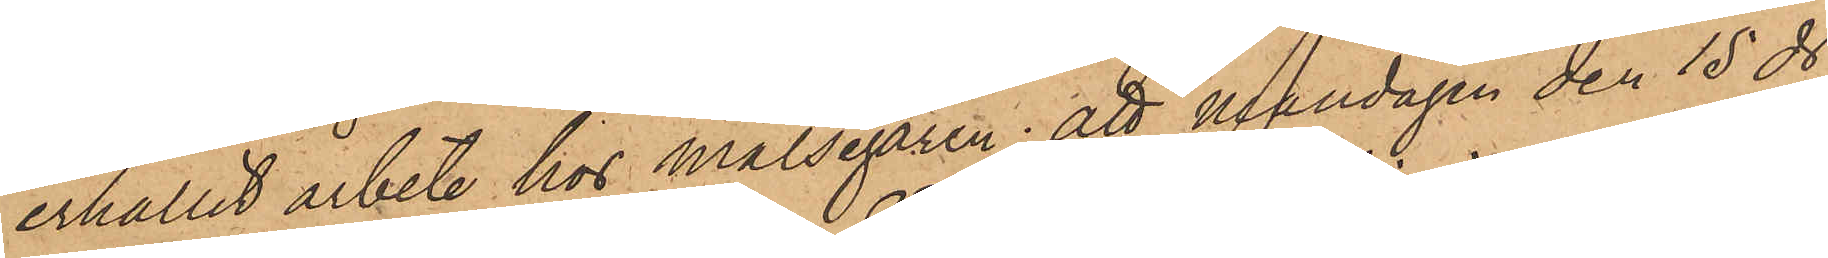erhållit arbete hos målsegaren; att måndagen den 15 ds,
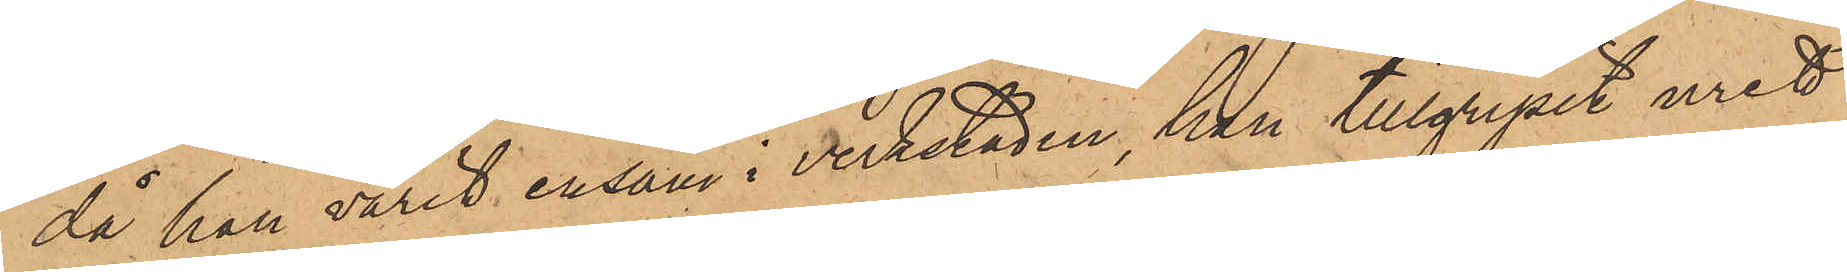då han varit ensam i verkstaden, han tillgripit uret
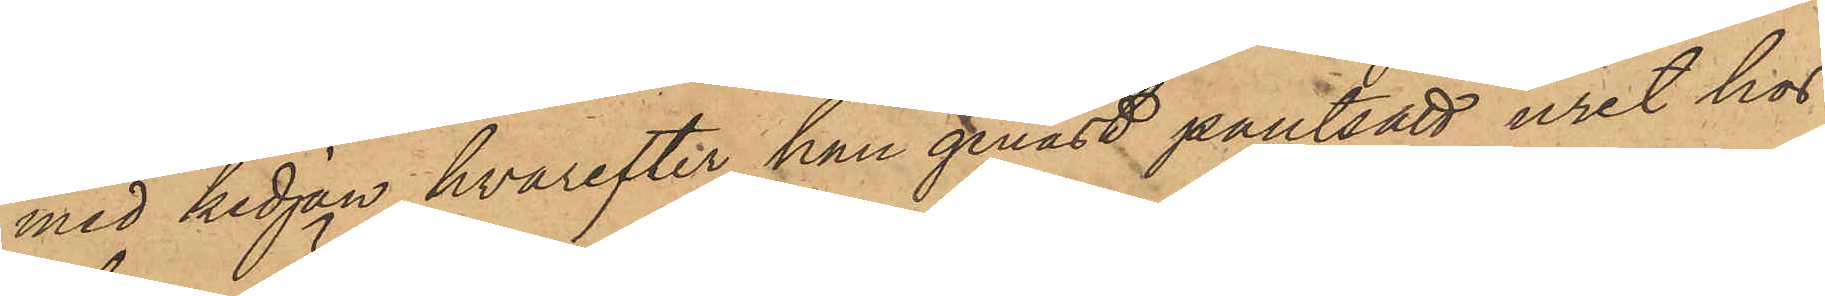med kedjan, hvarefter han genast pantsatt uret hos
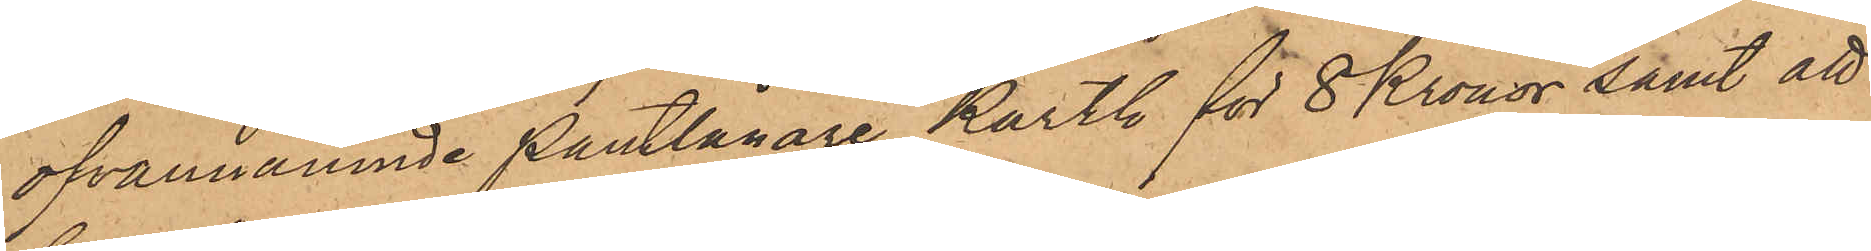ofvannämnde Pantlånare Karth för 8 Kronor samt att
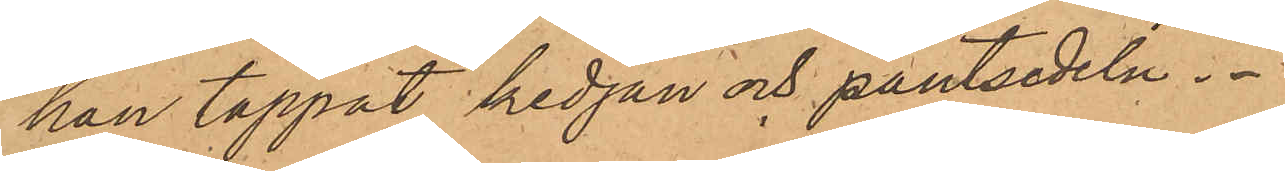han tappat kedjan och pantsedeln.
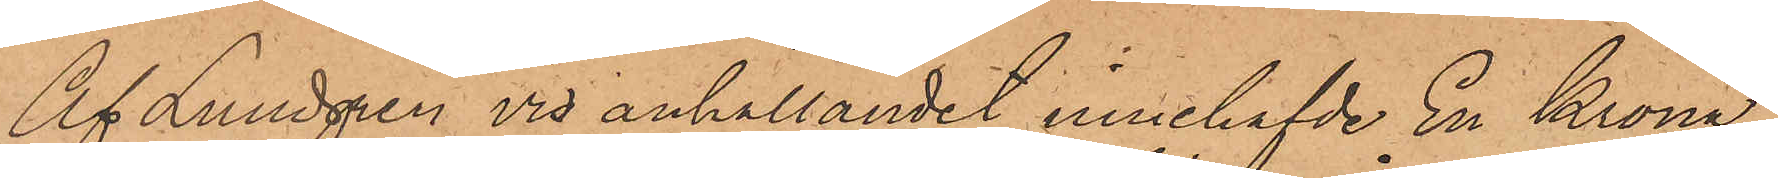Af Lundgren vid anhållandet innehafvde En Krona
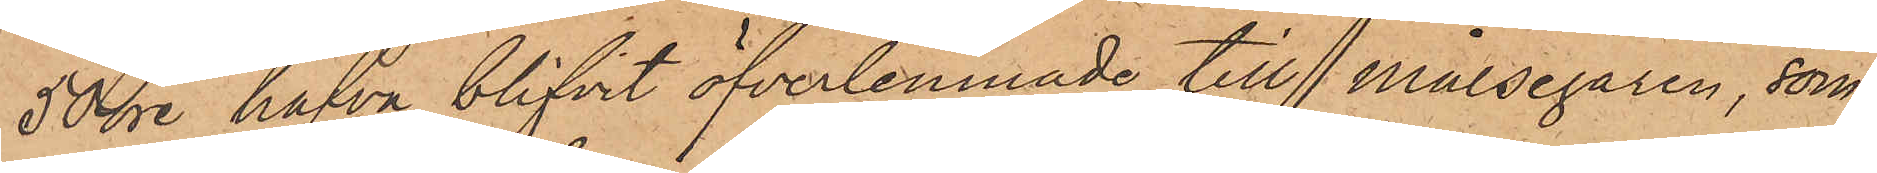50 öre hafva blifvit öfverlemnade till Målsegaren, som
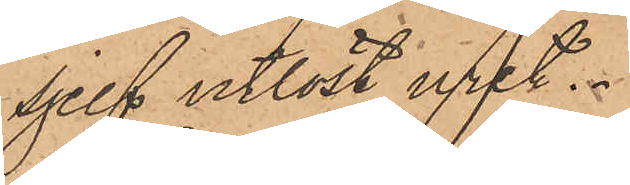sjelf utlöst uret.
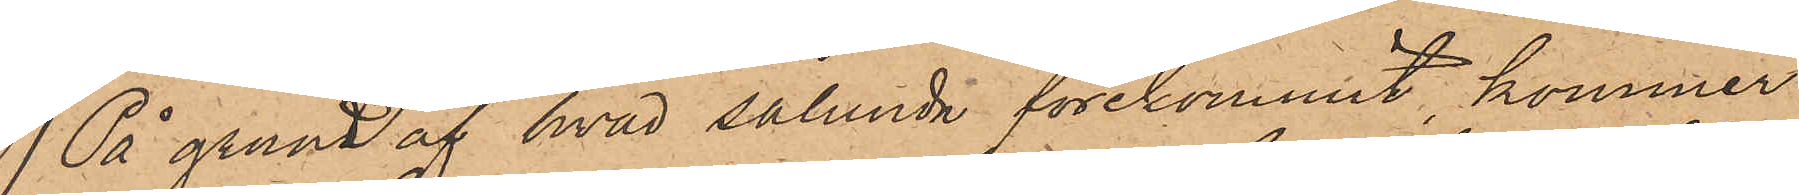På grund af hvad sålunda förekommit, kommer
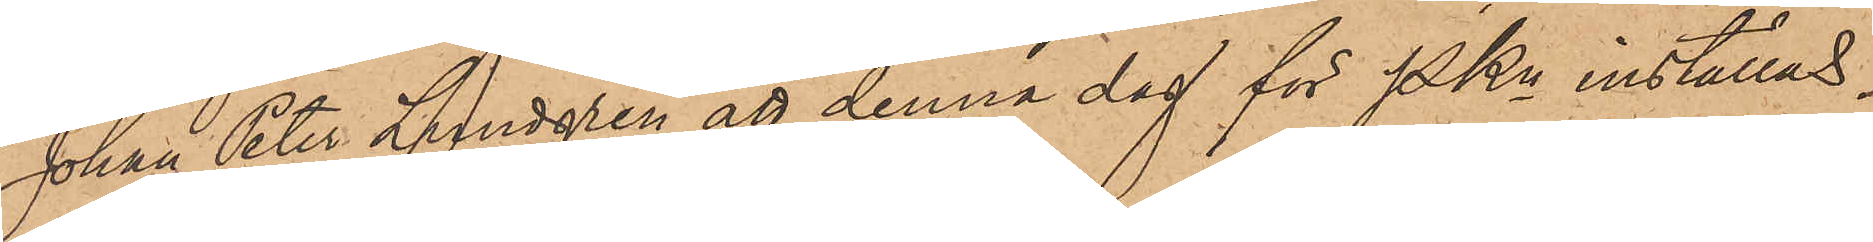Johan Peter Lundgren att denna dag för Pkn inställas.
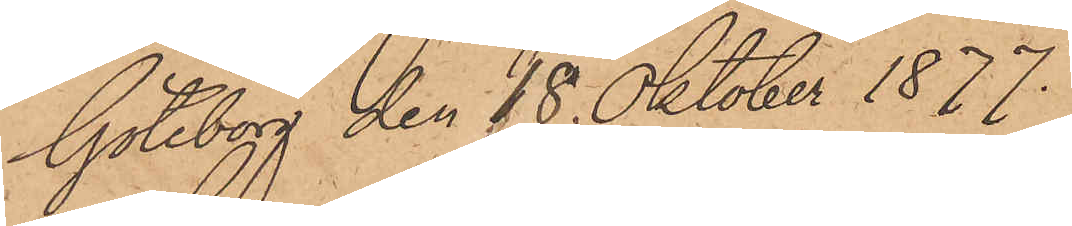Göteborg den 18 Oktober 1877.
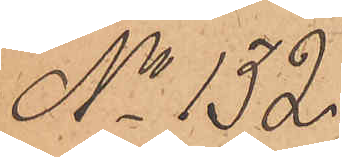No 132.
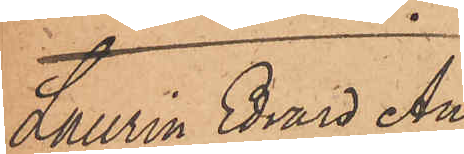Laurin Edvard An¬
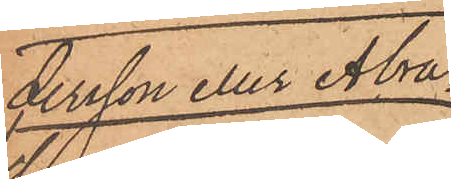dersson eller Abra¬
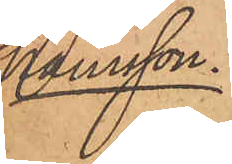hamsson.
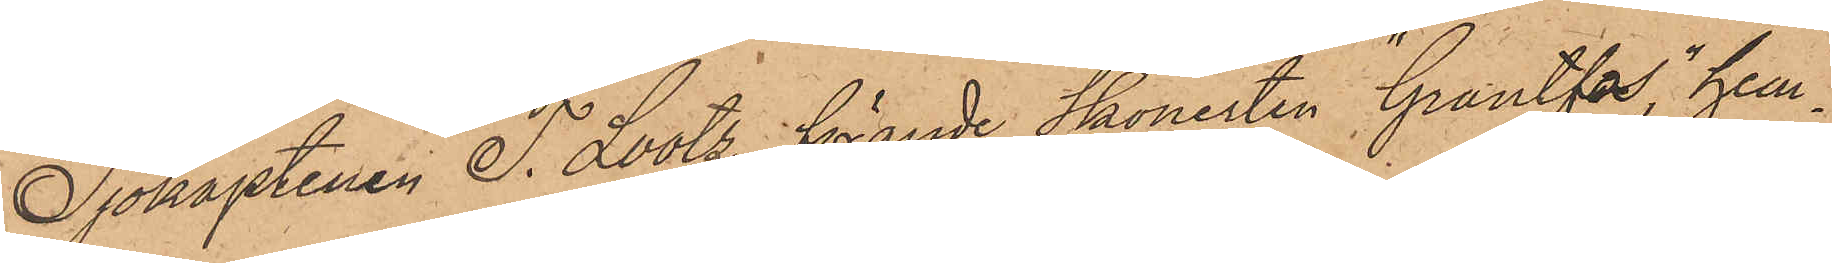Sjökaptenen T. Lootz, förande Skonerten "Grantfos", hem¬
